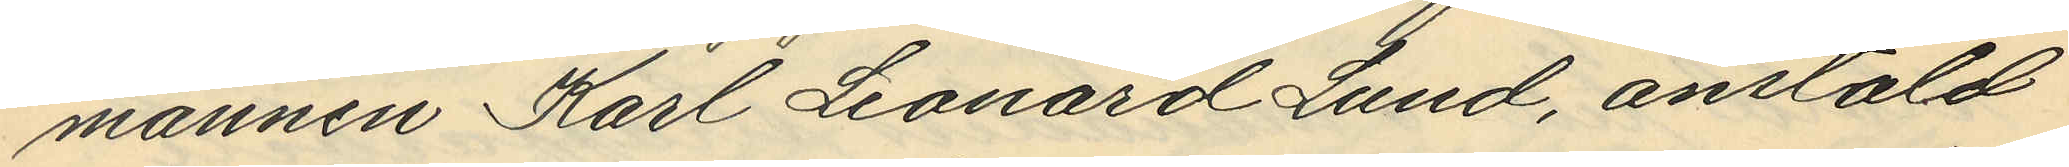mannen Karl Leonard Lund, anstäld
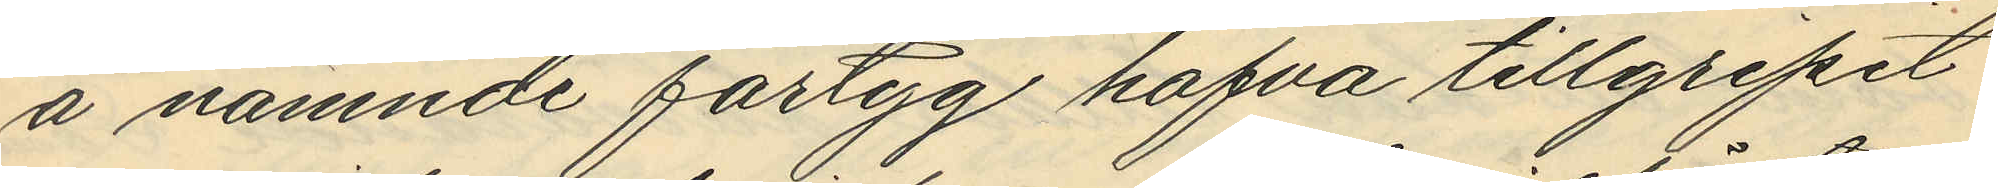å nämnde fartyg hafva tillgripit
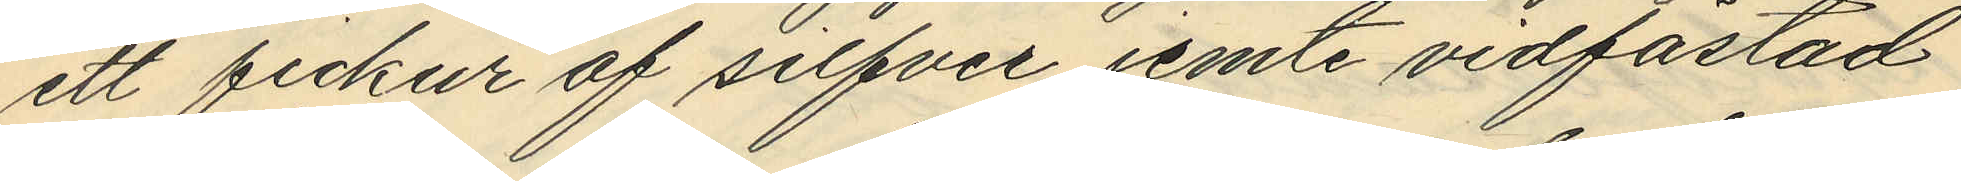ett fickur af silfver jemte vidfästad
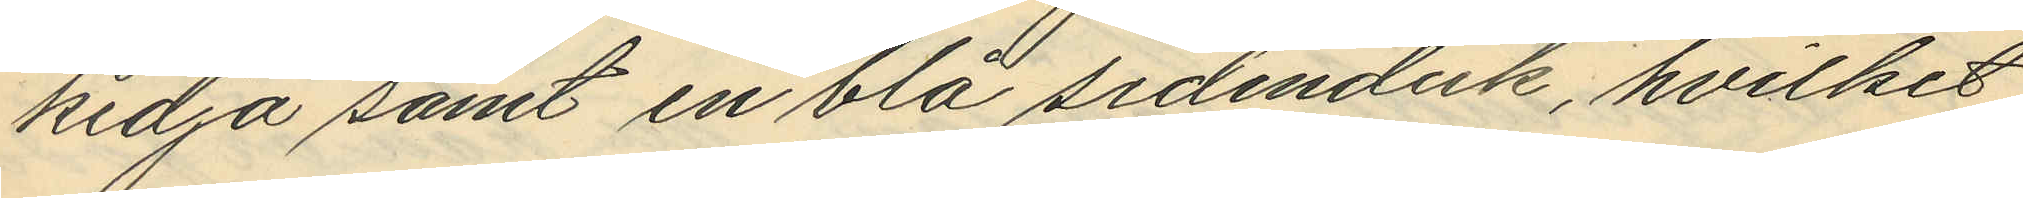kedja samt en blå sidenduk, hvilket
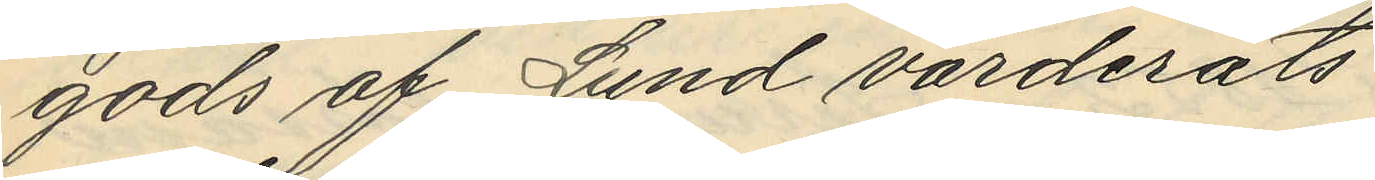gods af Lund värderats
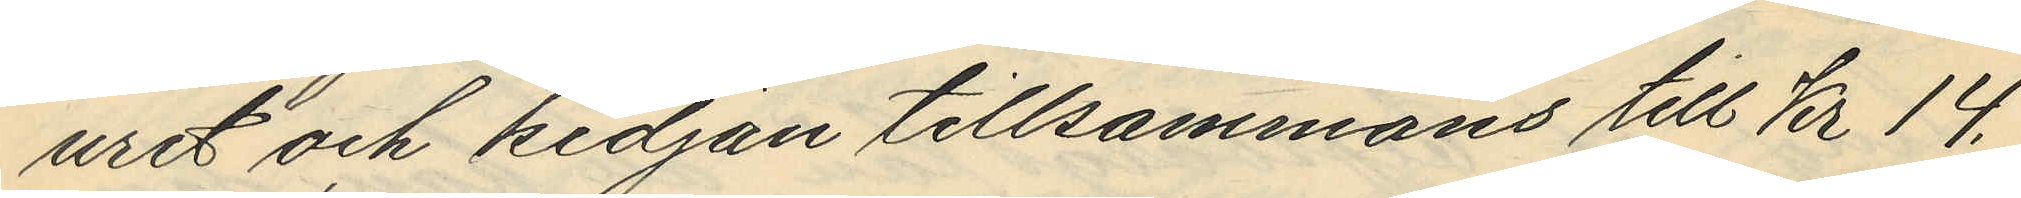uret och kedjan tillsammans till Kr 14.
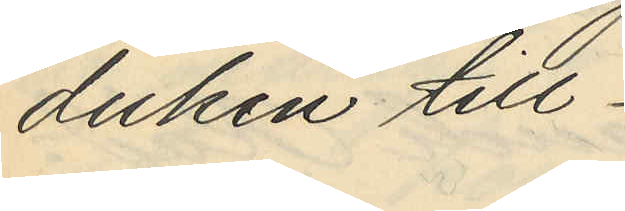duken till
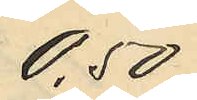0.50
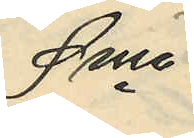Sma
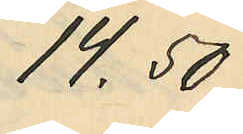14.50
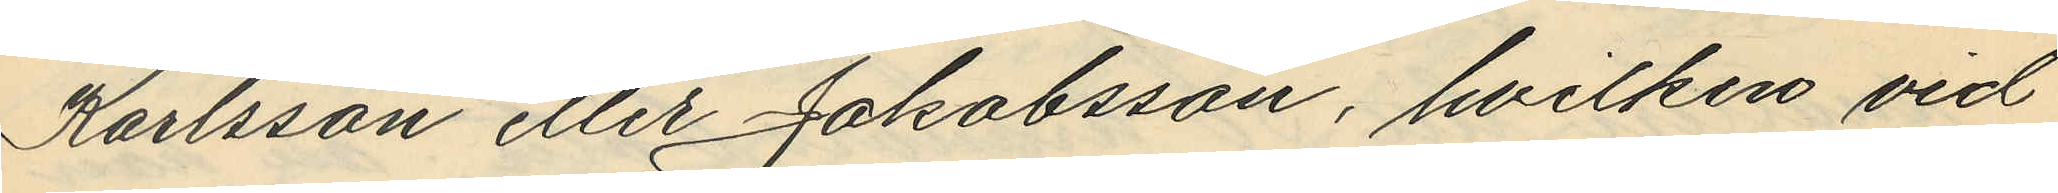Karlsson eller Jakobsson, hvilken vid
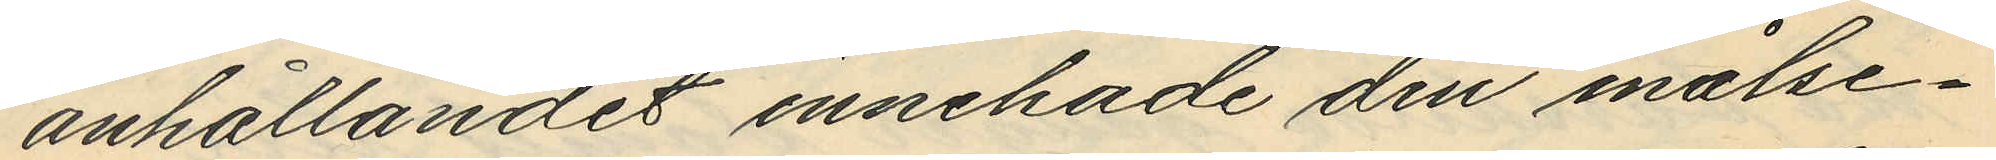anhållandet innehade den målse¬
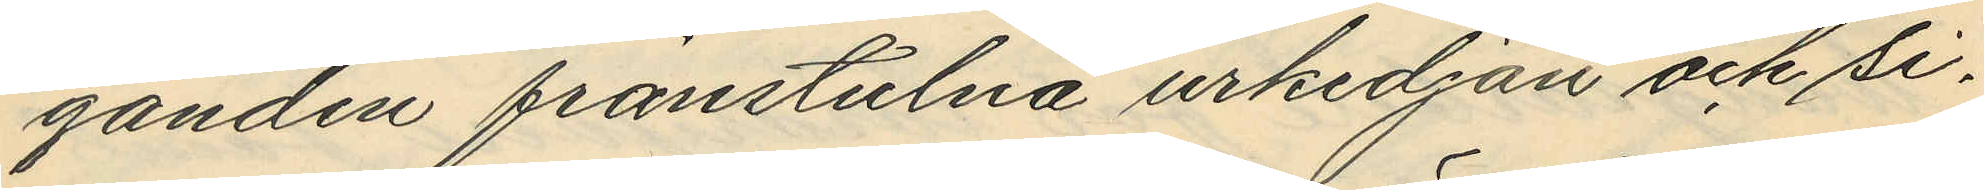ganden frånstulna urkedjan och si¬
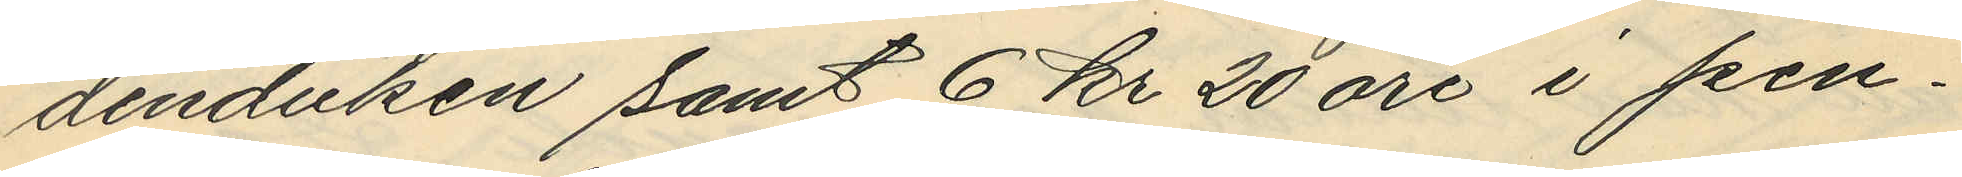denduken samt 6 kr 20 öre i pen¬
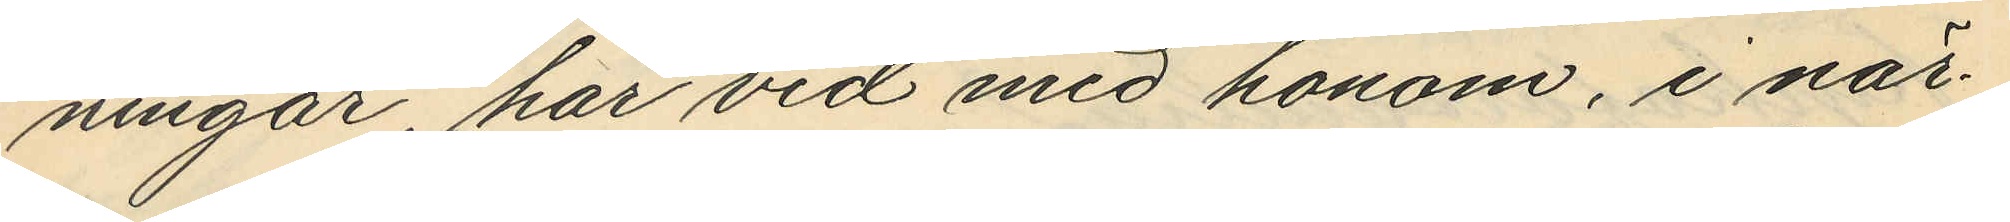ningar, har vid med honom, i när¬
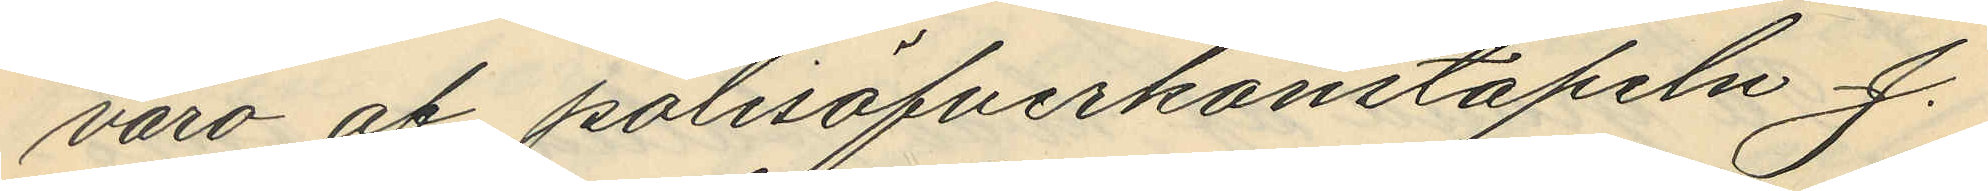varo af polisöfverkonstapeln J.
